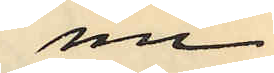nu
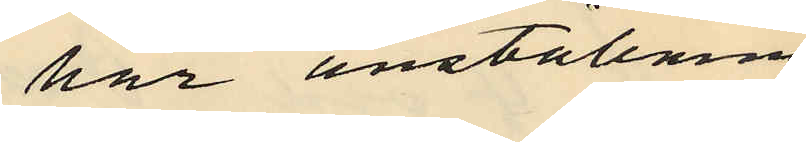har anställnng
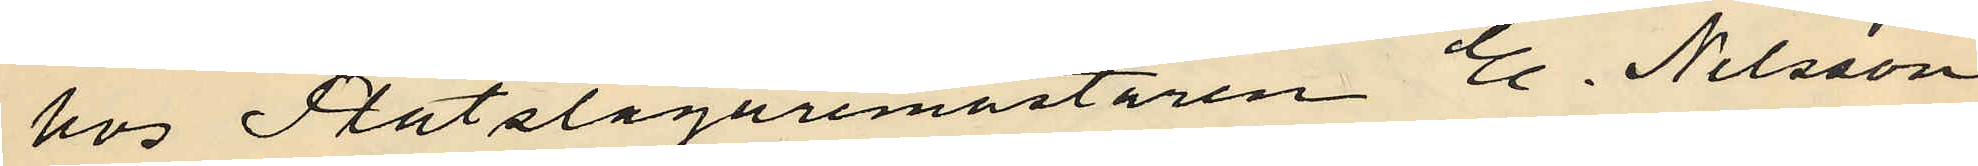hos Plåtslagaremästaren E. Nilsson
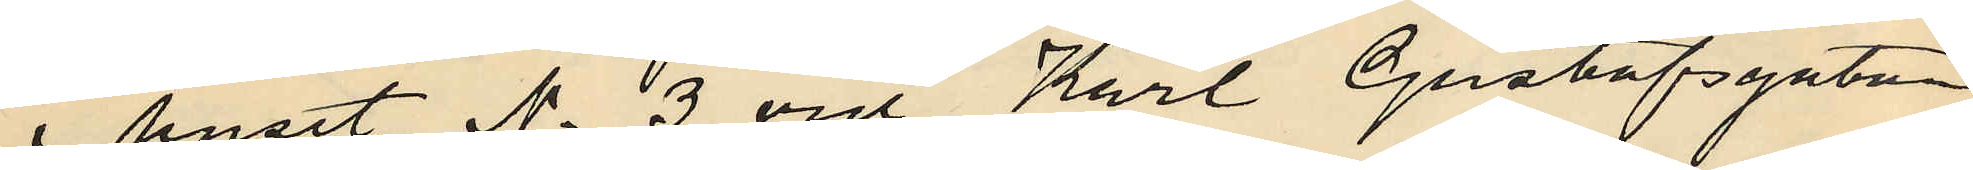i huset No 3 vid Karl Gustafsgatan
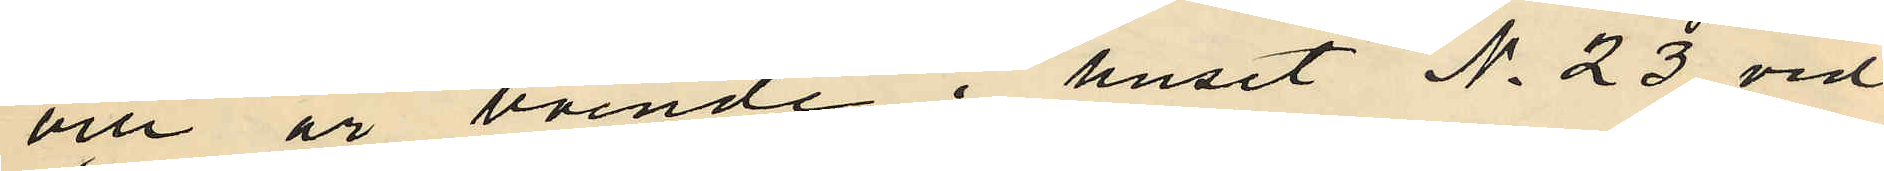och är boende i huset No 23 vid
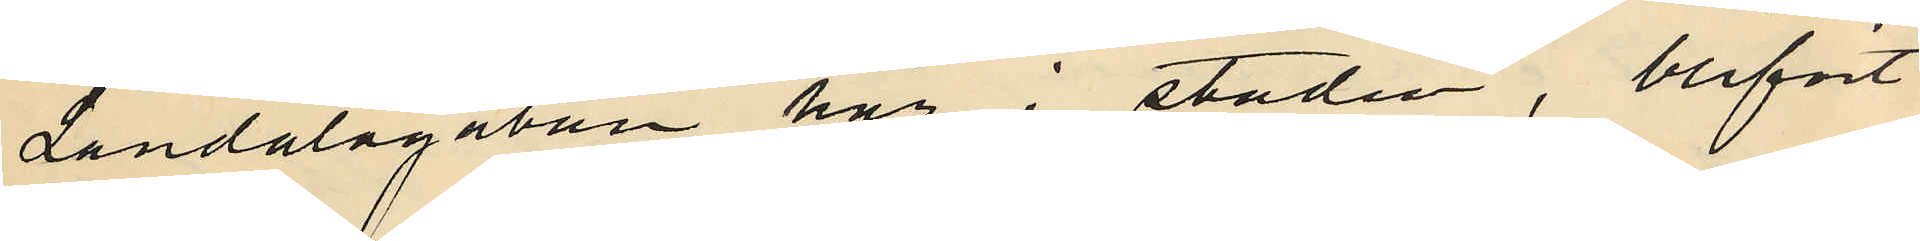Landalagatan här i staden, blifvit
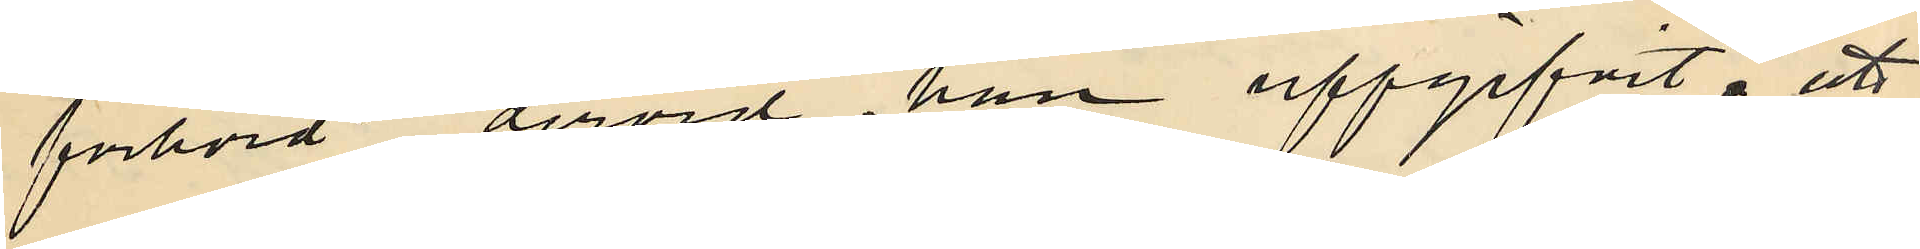förhörd dervid han uppgifvit; att
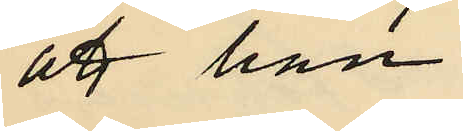att han
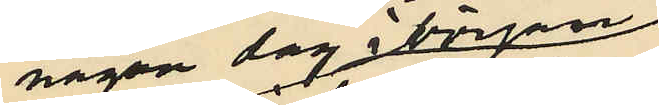någon dag i början
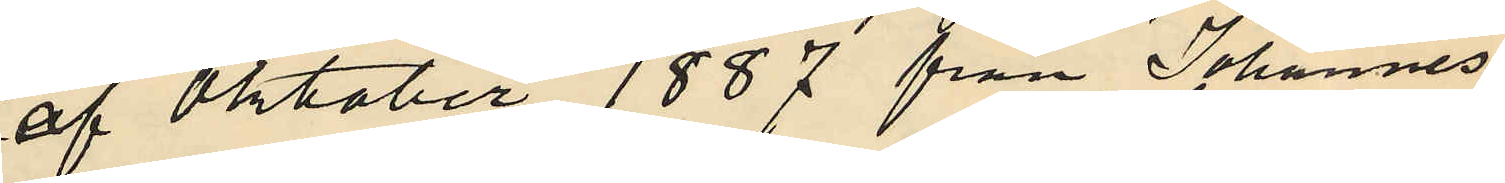af Oktober 1887 från Johannes
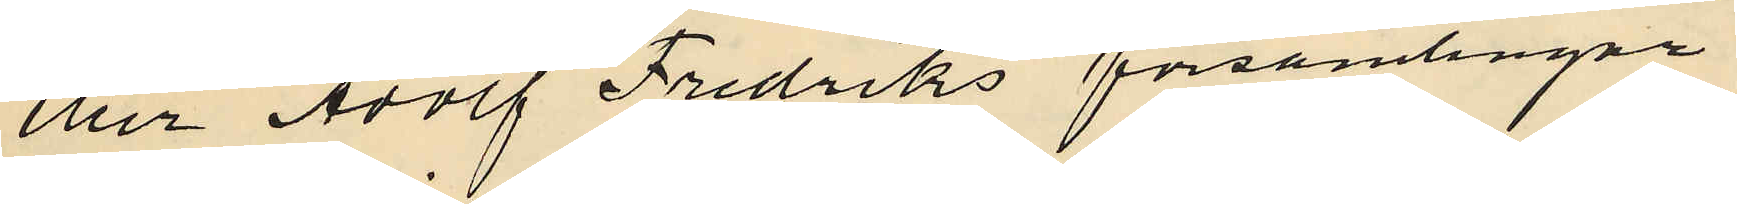eller Adolf Fredriks församlingar
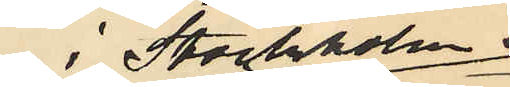i Stockholm
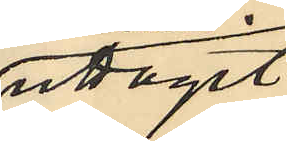utagit
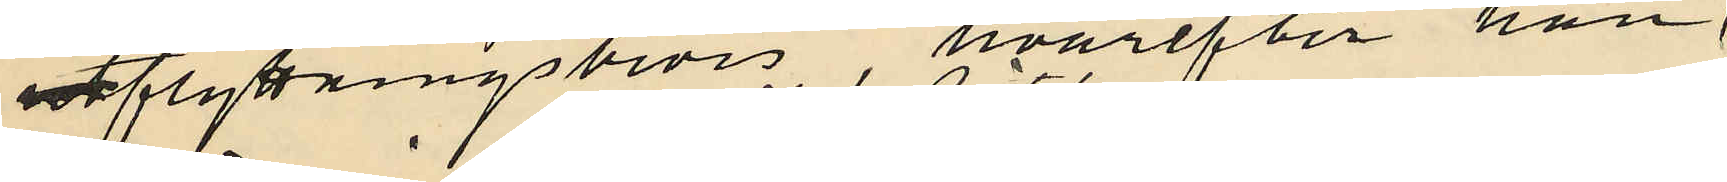utflyttningsbevis, hvarefter han
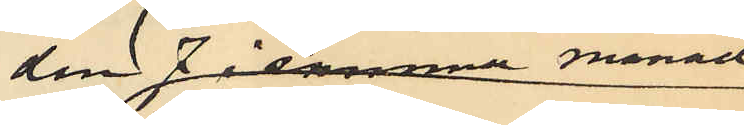den 7 i samma månad
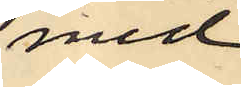med
